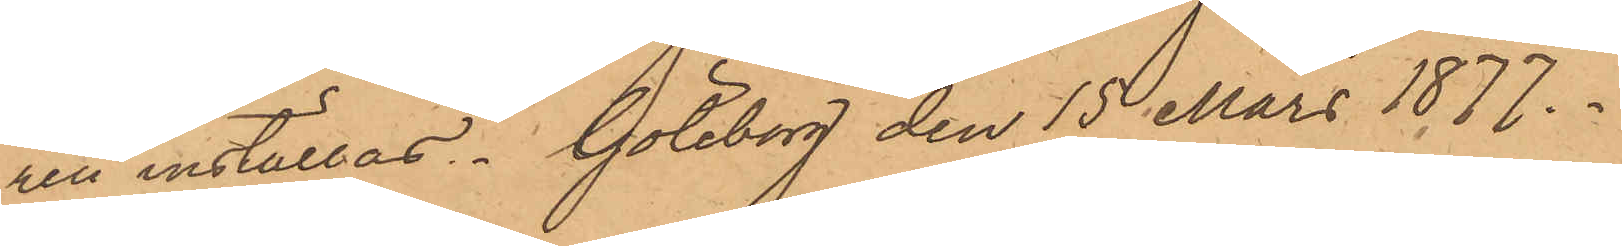ren inställas. Göteborg den 15 Mars 1877.
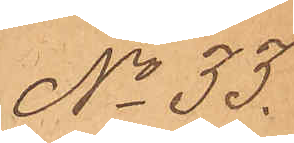No 33.
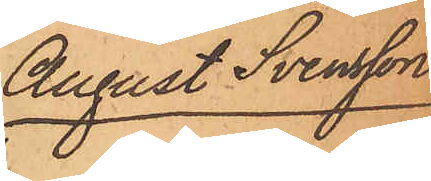August Svensson
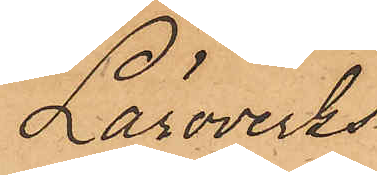Läroverks¬
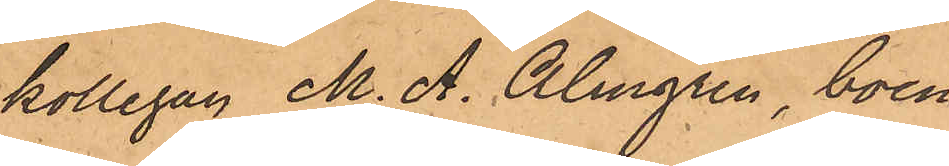kollegan M. A. Almgren, boen¬
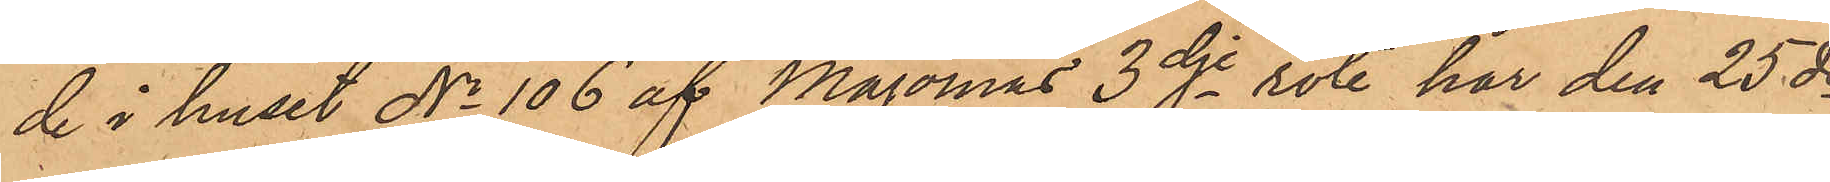de i huset No 106 af Majornas 3dje rote, har den 25 ds
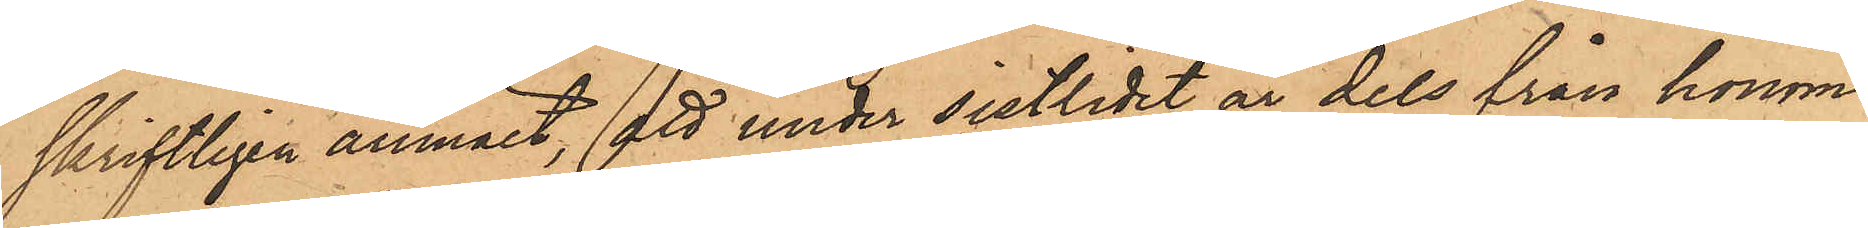skriftligen anmält, att under sistlidet år dels från honom
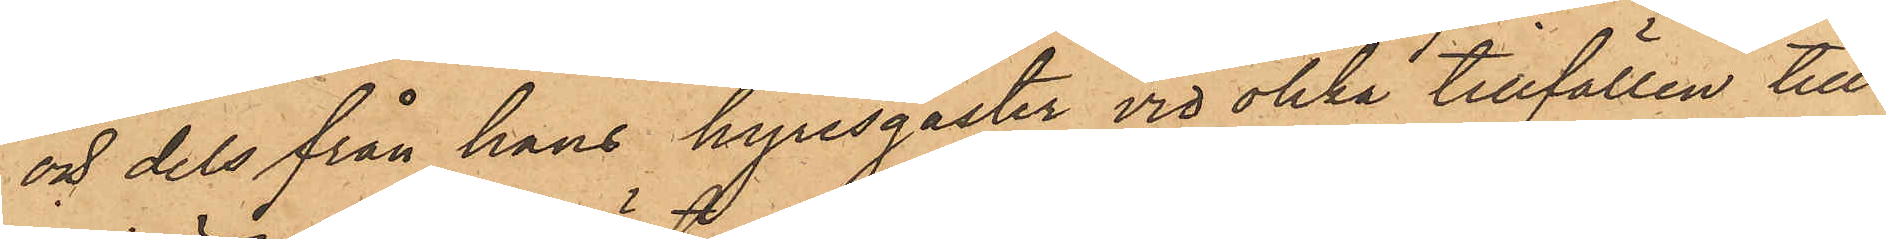och dels från hans hyresgäster vid olika tillfällen till
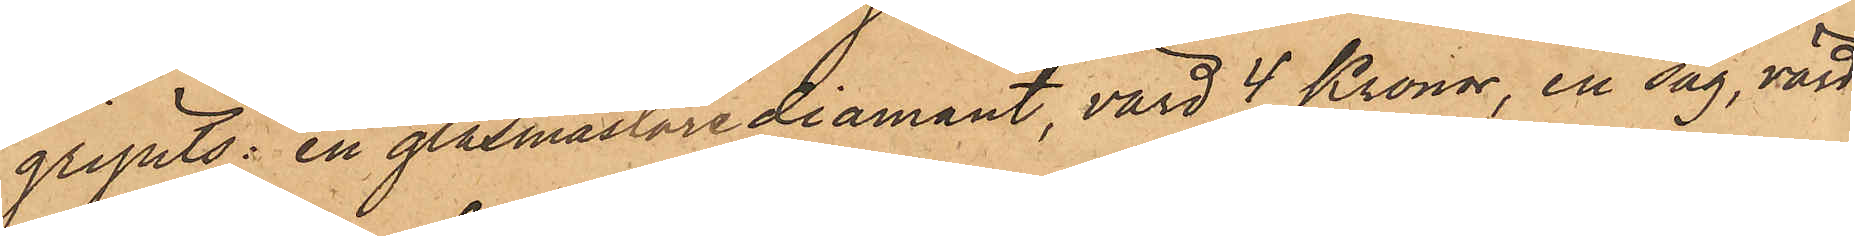gripits: en glasmästare diamant, värd 4 Kronor, en såg, värd
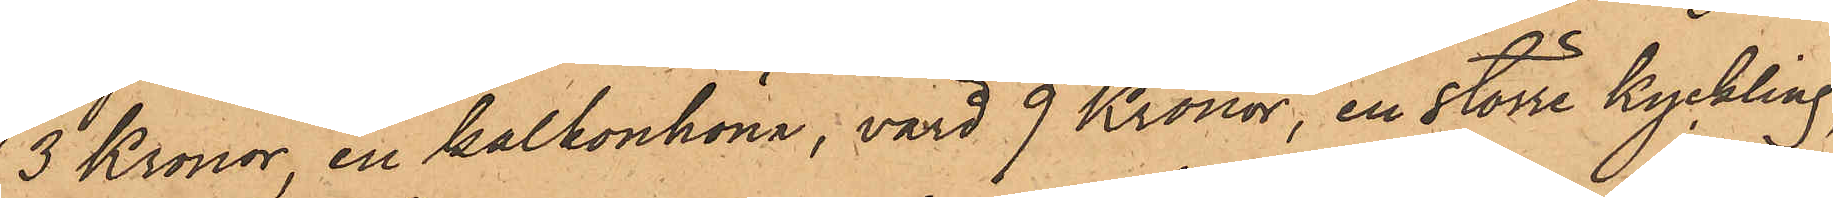3 Kronor en kalkonhöna, värd 9 Kronor, en större kyckling
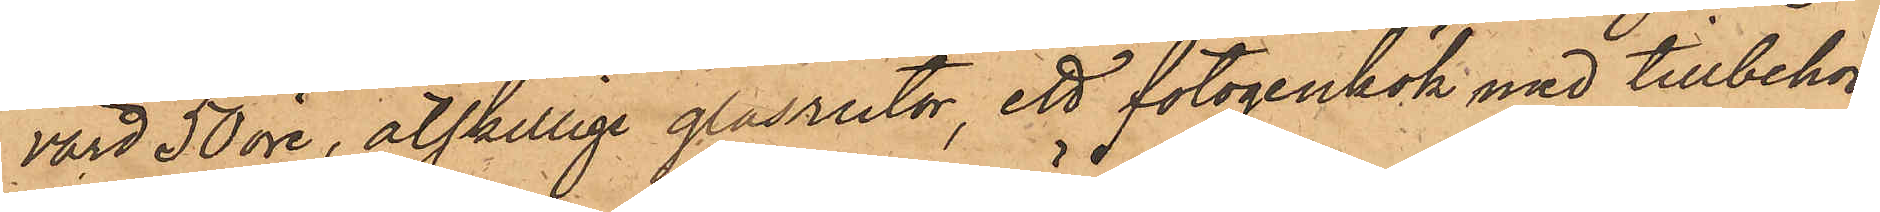värd 50 öre, åtskillige glasrutor, ett fotogenkök med tillbehör
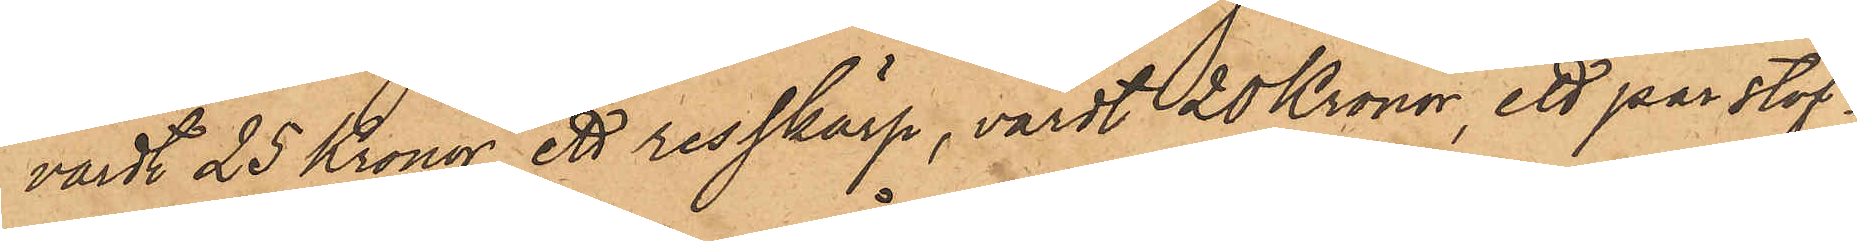värdt 25 Kronor, ett resskärp, värdt 20 Kronor, ett par stöf¬
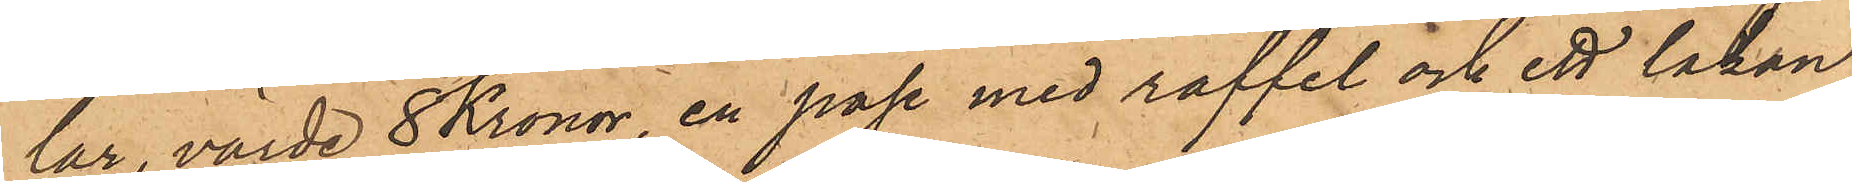lar, värde 8 Kronor, en påse med raffel och ett lakan
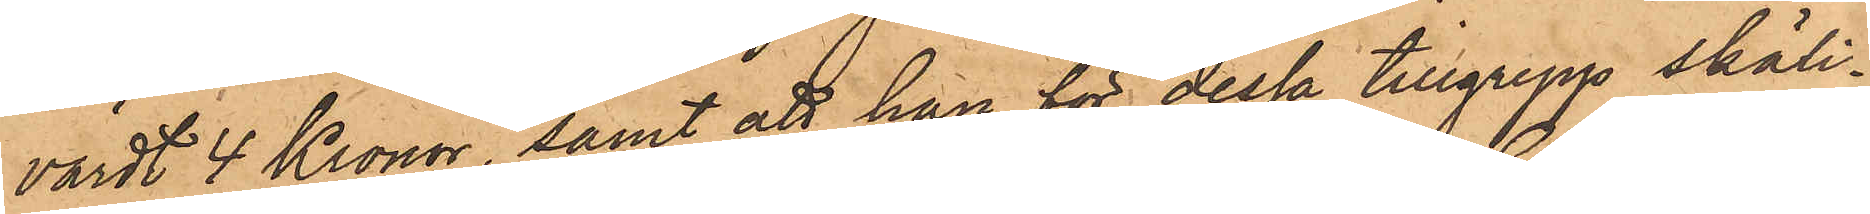värdt 4 Kronor, samt att han för dessa tillgrepp skäli¬
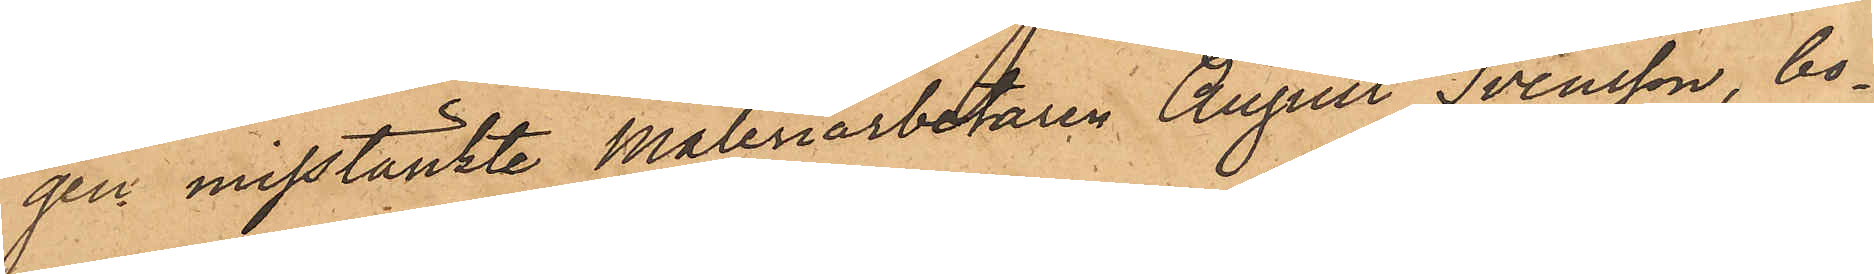gen misstänkte Måleriarbetaren August Svensson, bo¬
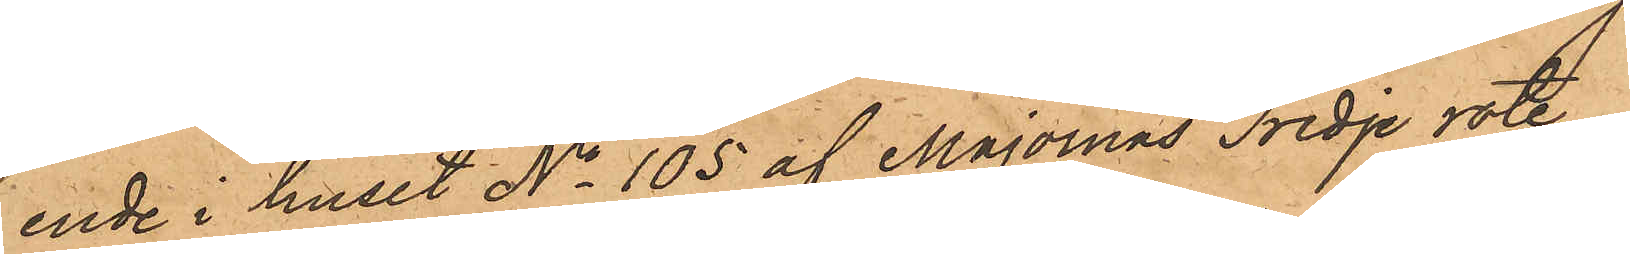ende i huset No 105 af Majornas Tredje rote.
